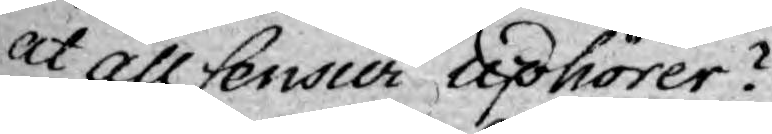at all Censur uphörer?
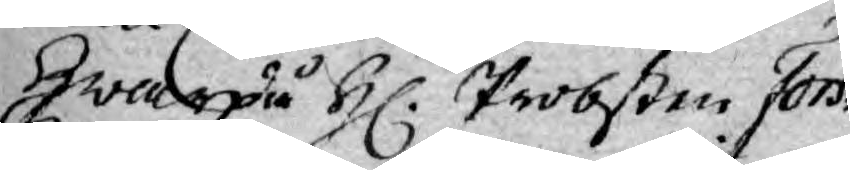Hwarpå H. Probßten Fors¬
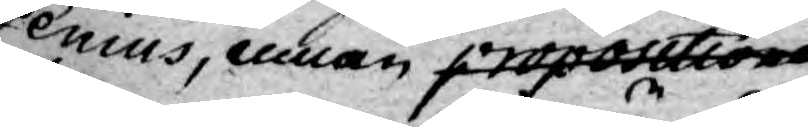senius, innan propositionen
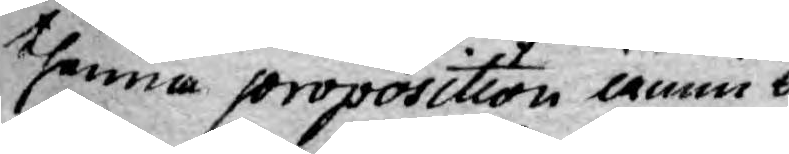thenne proposition ännu be¬
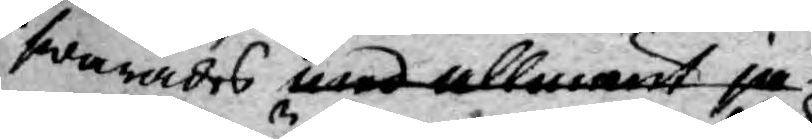swarades med allmänt ja
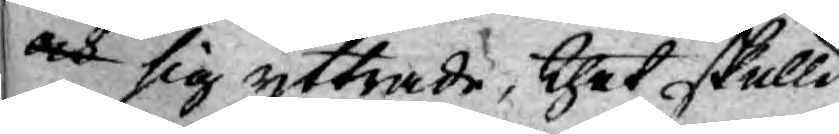och sig yttrade, thet skulle
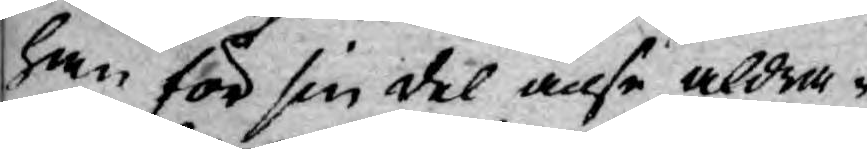han för sin del anse aldra¬
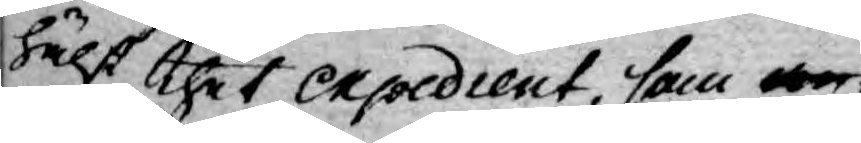hälst thet expedient, som
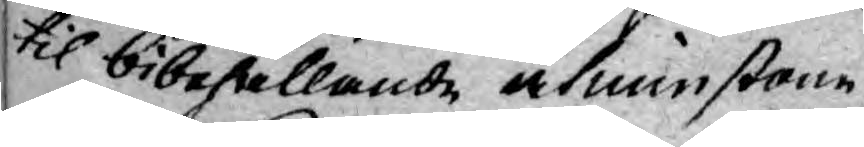til bibehållande åtminstone
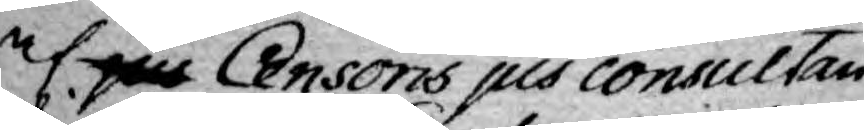af jus Censoris jus consultan¬
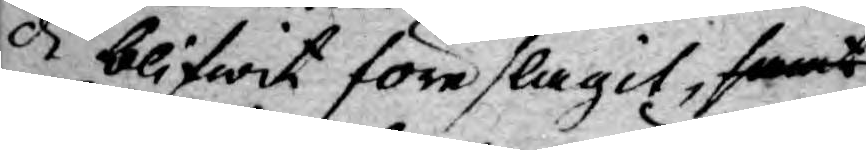di blifwit föreslagit, samt
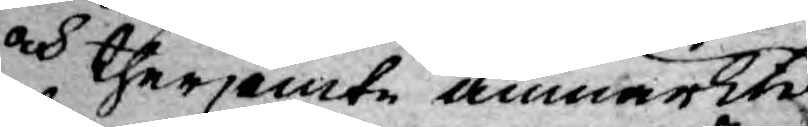och therjemte anmärkte
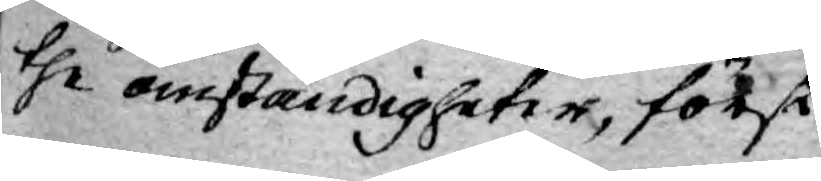the omständigheter, först
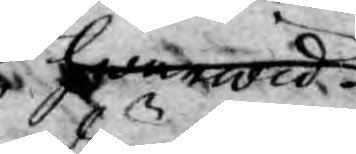hwarwid
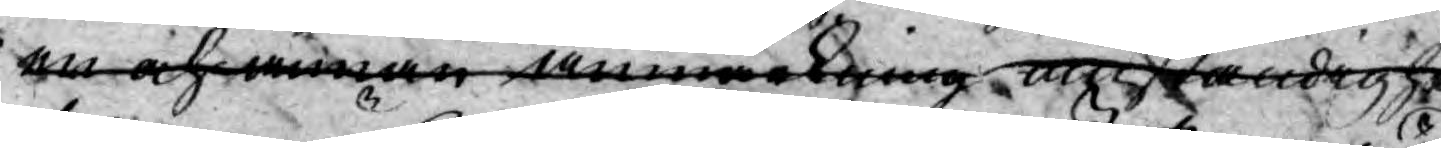en och annan anmärkning omständighet
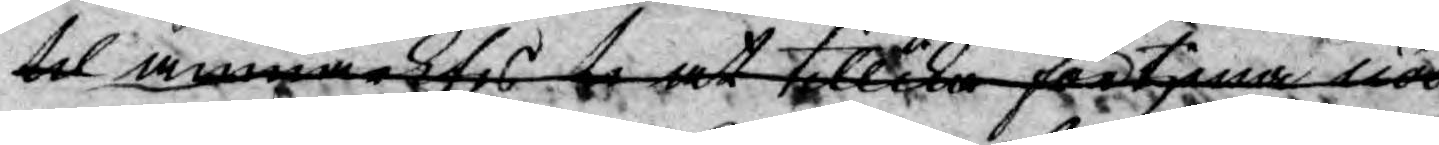til anmärktes at tillika förtjena nödig
